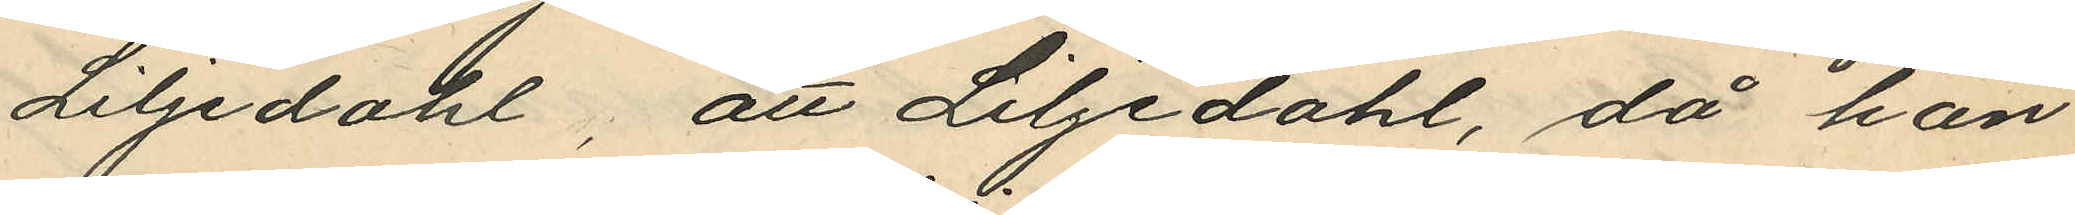Liljedahl, att Liljedahl, då han
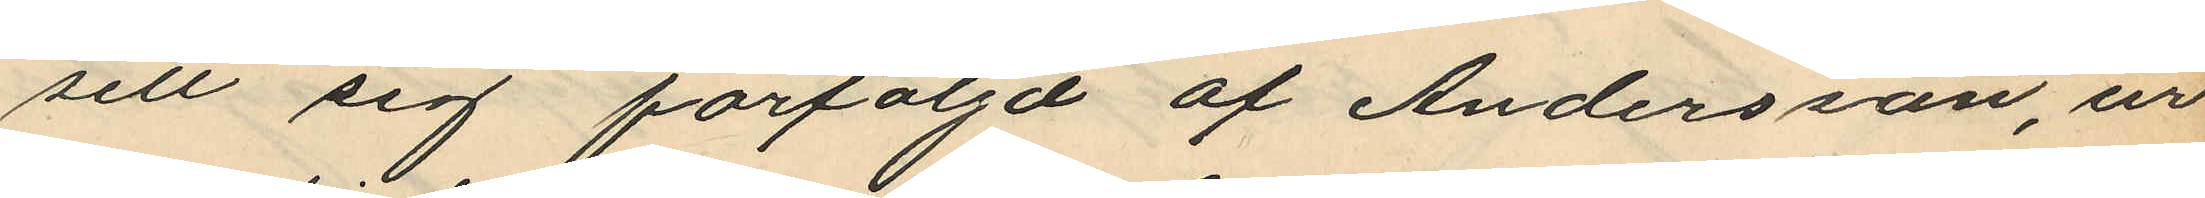sett sig förföljd af Andersson, ur
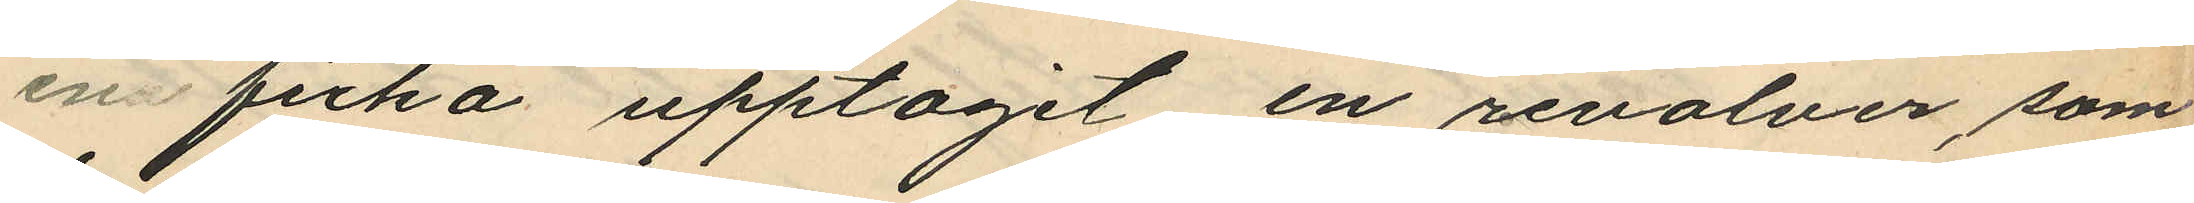en ficka upptagit en revolver, som
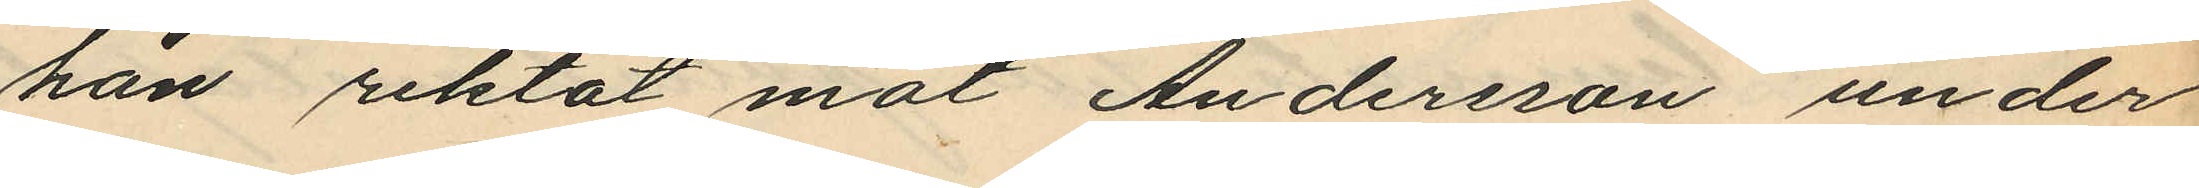han riktat mot Andersson under
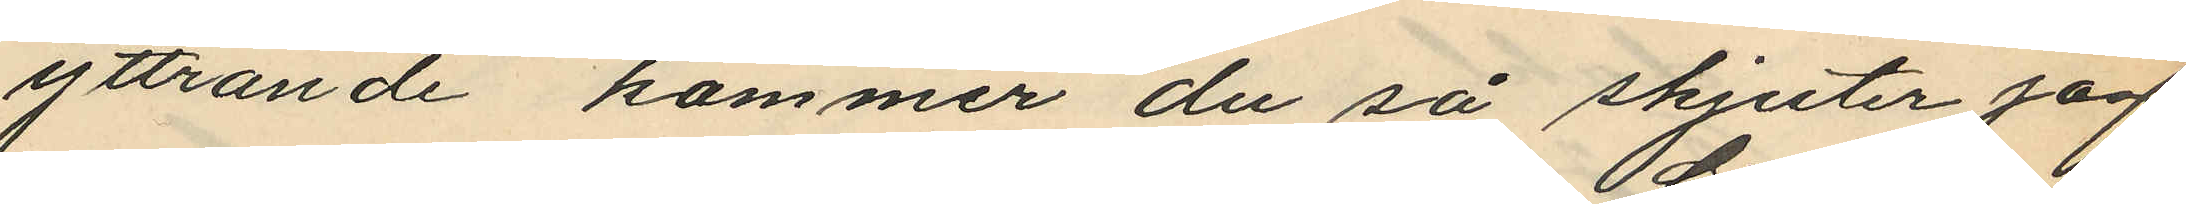yttrande "kommer du så skjuter jag"
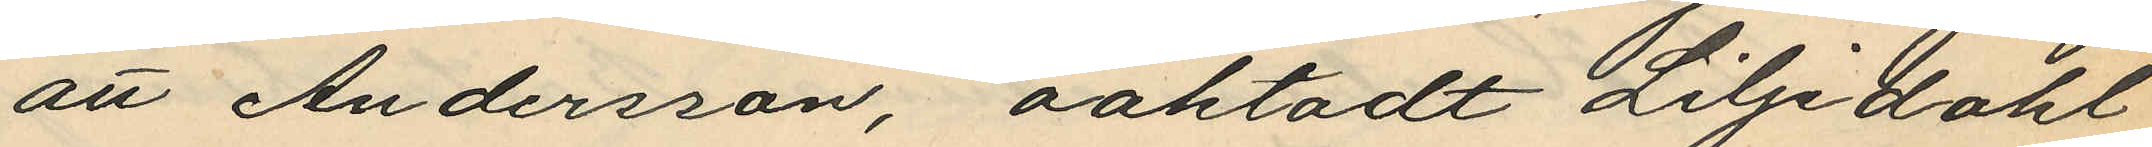att Andersson, oaktadt Liljedahl
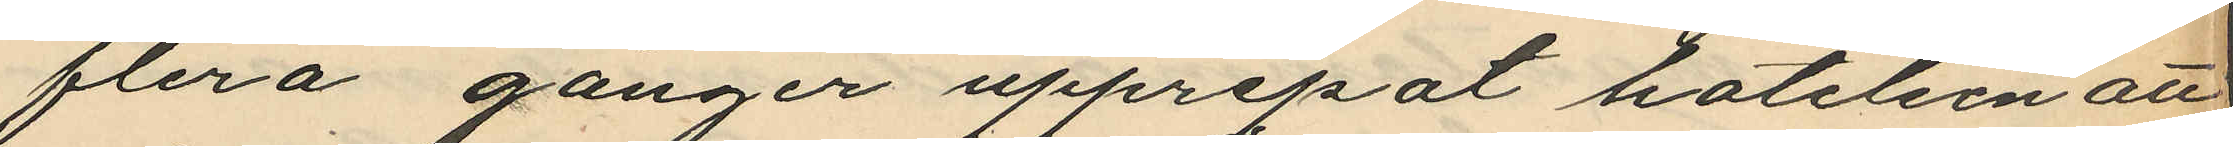flera gånger upprepat hotelsen att
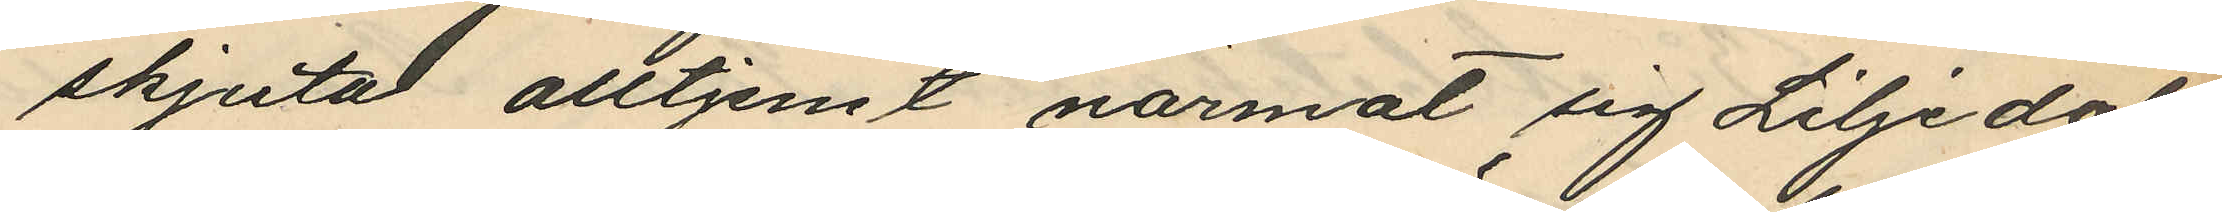skjuta alltjemt närmat sig Liljedahl
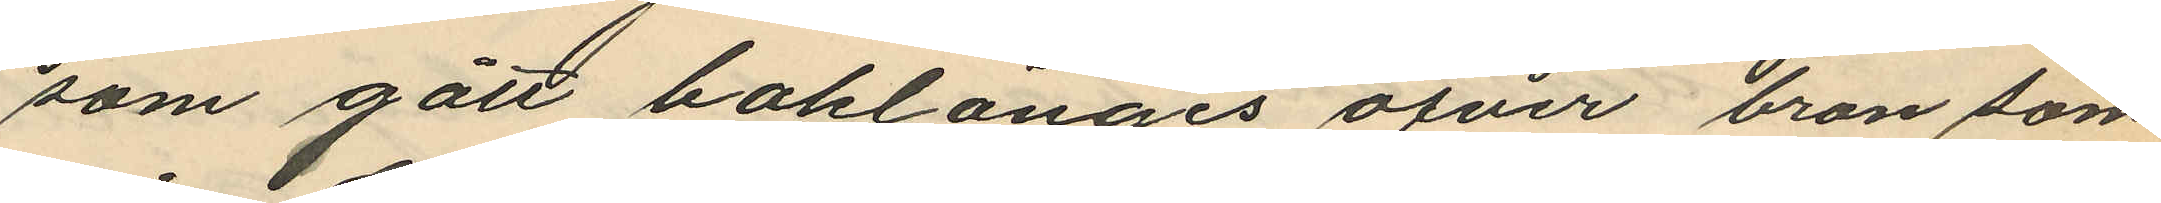som gått baklänges öfver bron som
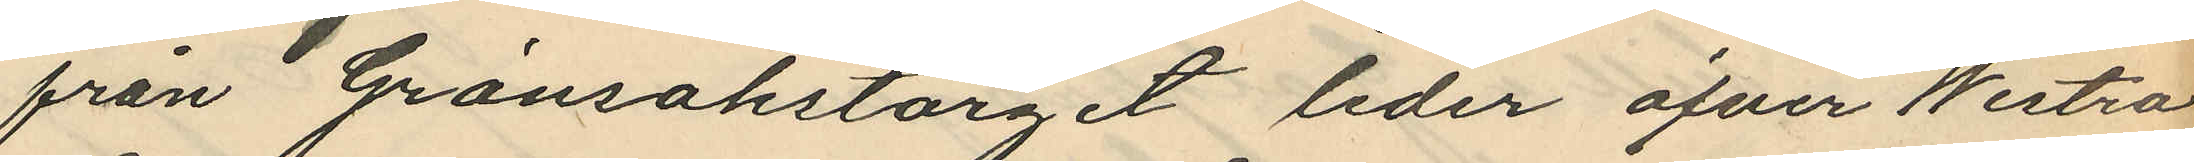från Grönsakstorget leder öfver Westra
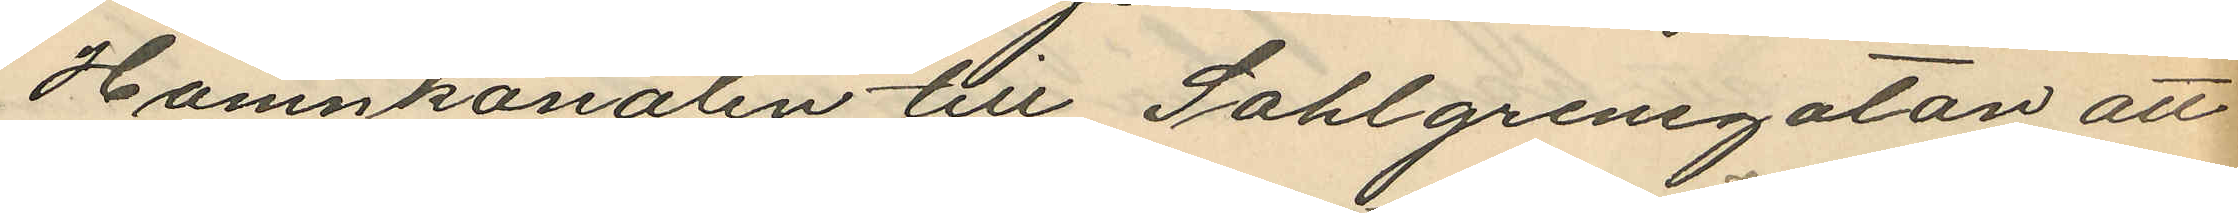Hamnkanalen till Sahlgrensgatan att
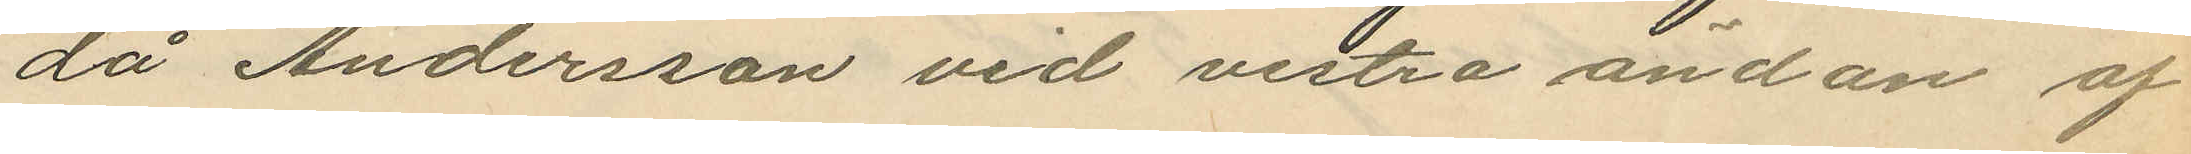då Andersson vid vestra ändan af
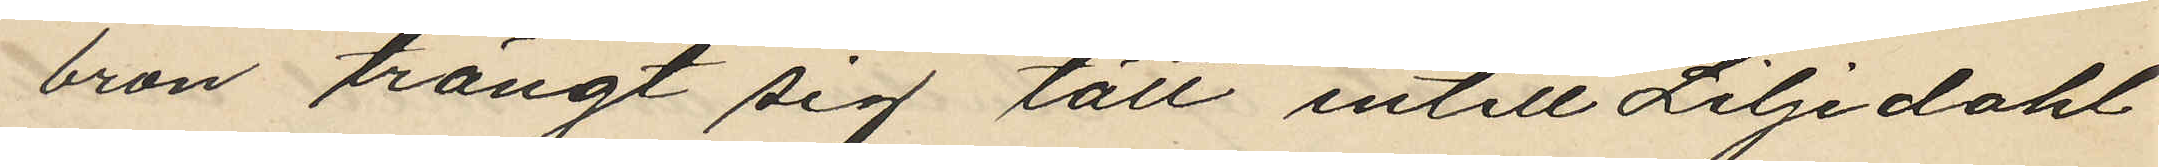bron trängt sig tätt intill Liljedahl
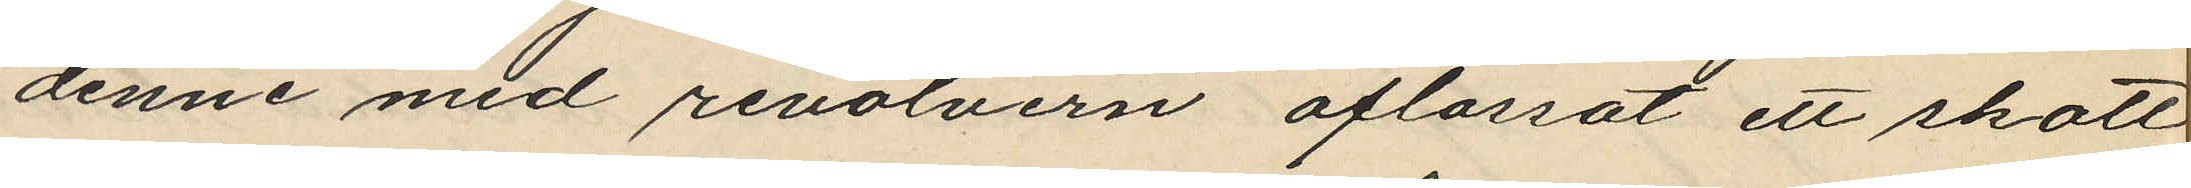denne med revolvern aflossat ett skott
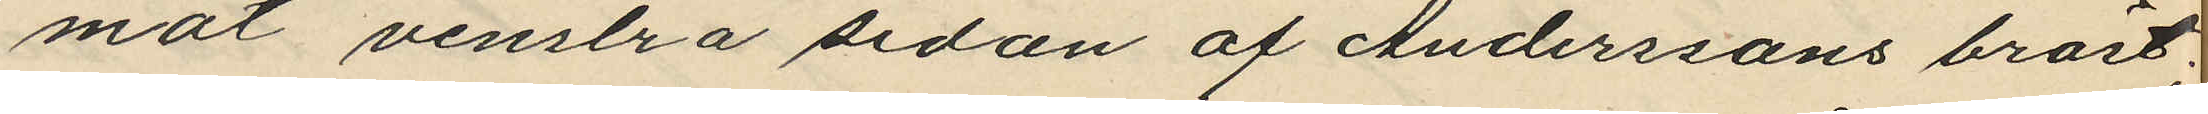mot venstra sidan af Anderssons bröst;
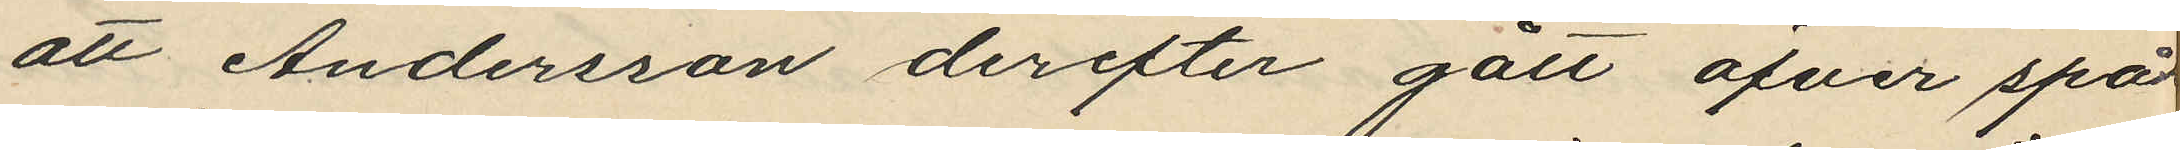att Andersson derefter gått öfver spår
